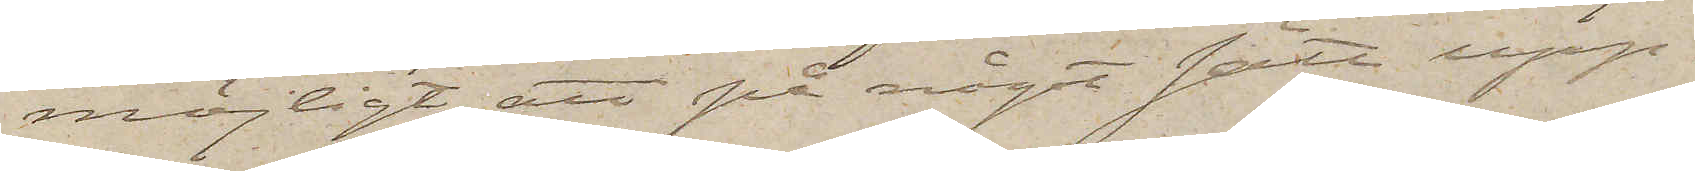möjligt att på något sätt upp¬
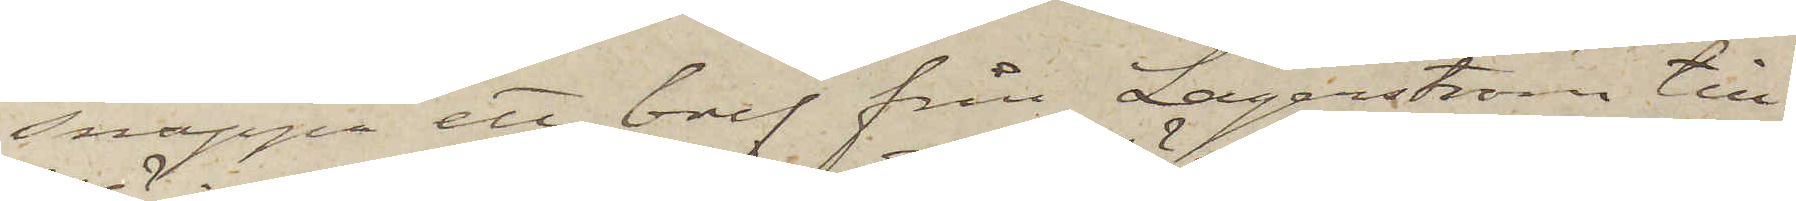snappa ett bref från Lagerström till
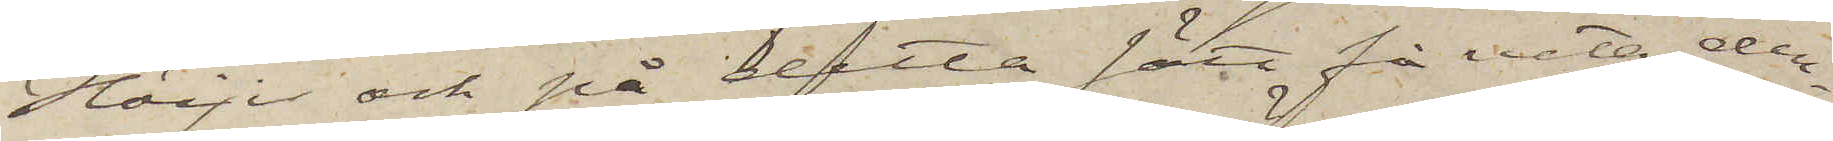Höijer och på detta sätt få veta den¬
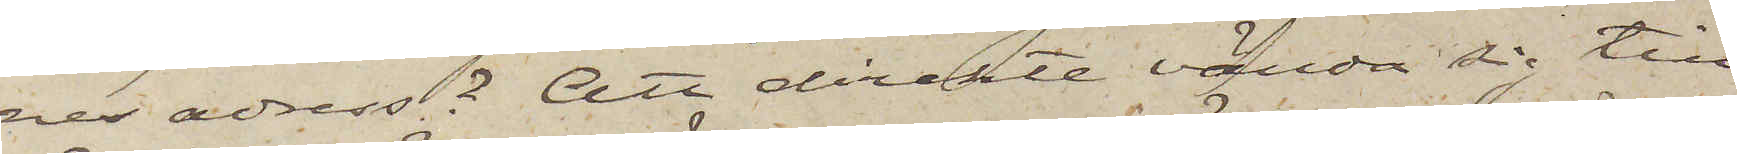nes adress? Att direkte vända sig till
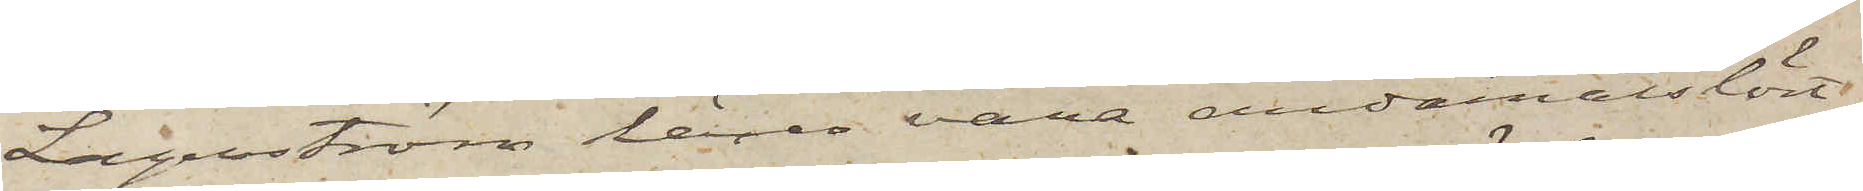Lagerström lärer vara ändamålslöst
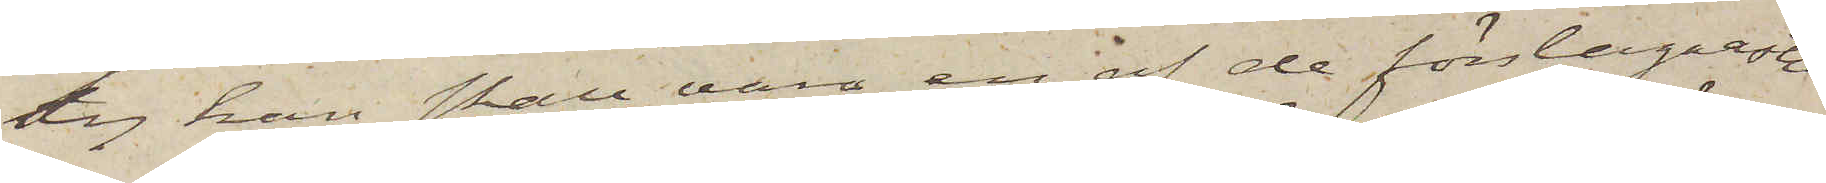ty han skall vara en af de förslagnaste
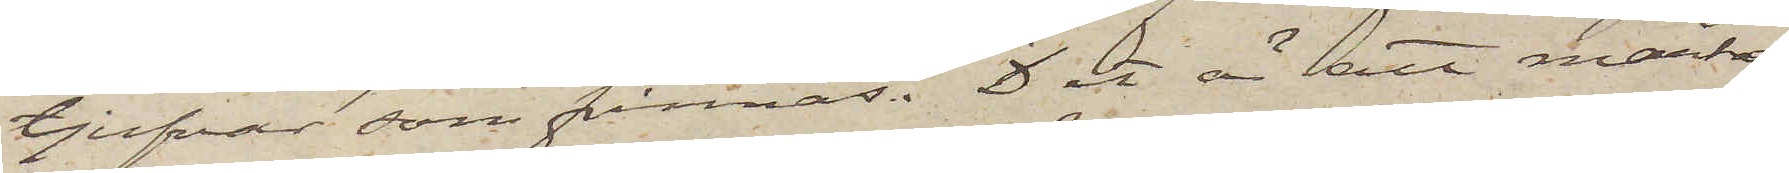tjufvar som finnas. Det är att märka
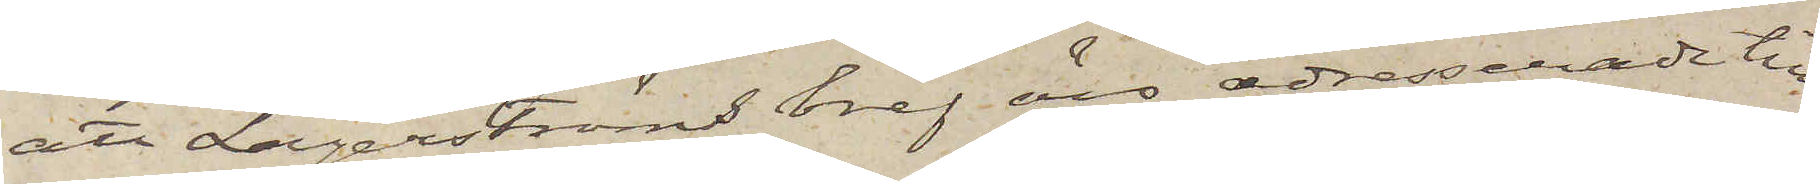att Lagerströms bref äro adresserade till
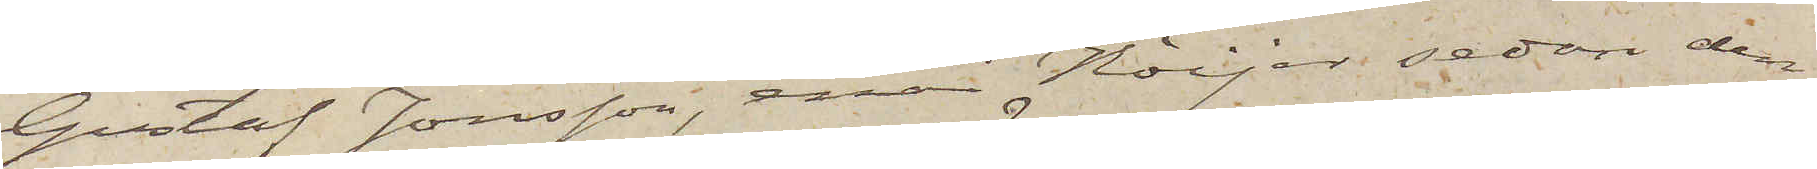Gustaf Jonsson, enär Höijer sedan den
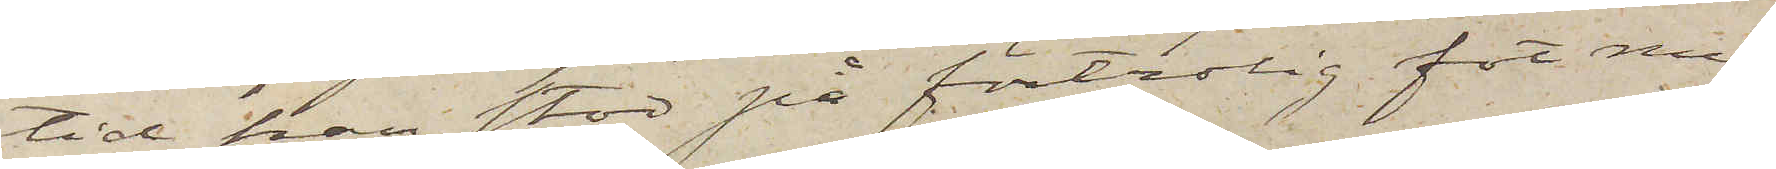tid han stod på förtrolig fot med
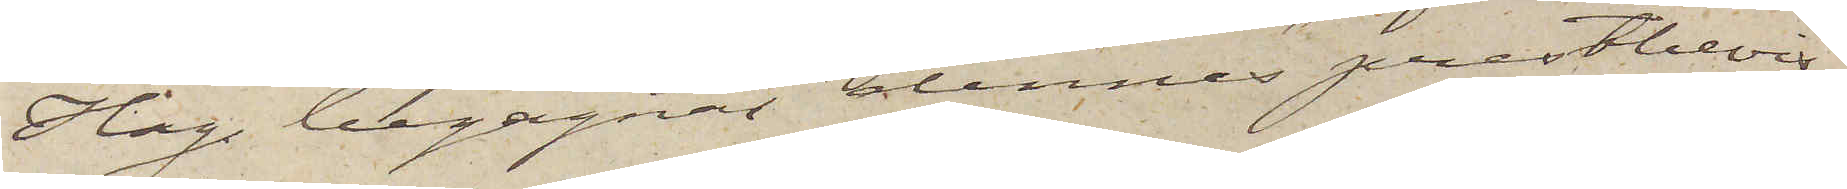Hag begagnat dennes prestbevis,
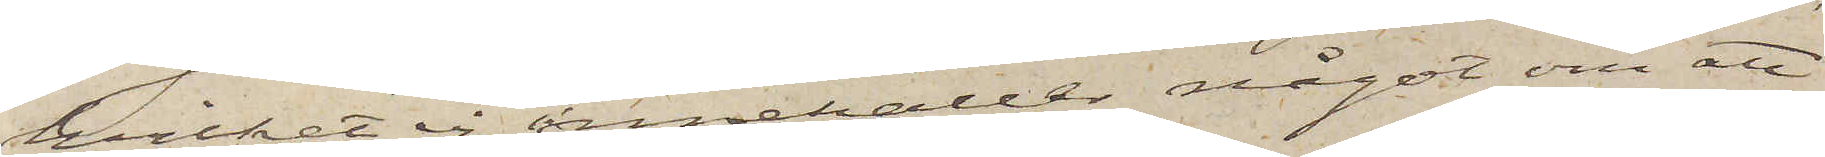hvilket ej innehåller något om att
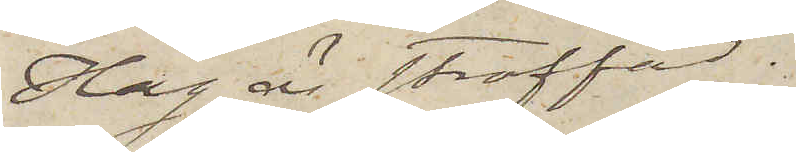Hag är straffad.
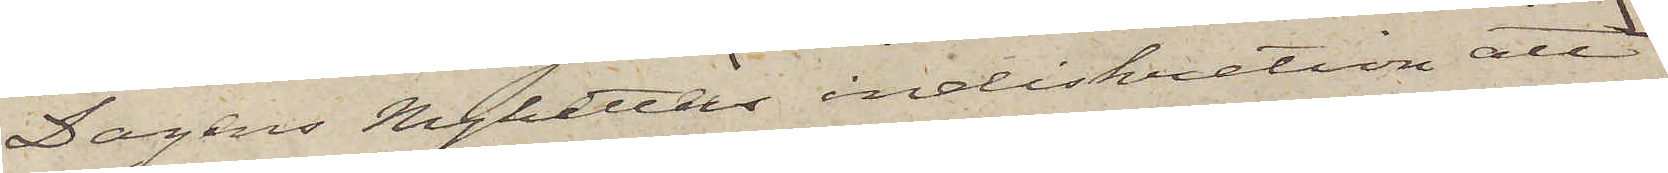Dagens Nyheters indiskretion att
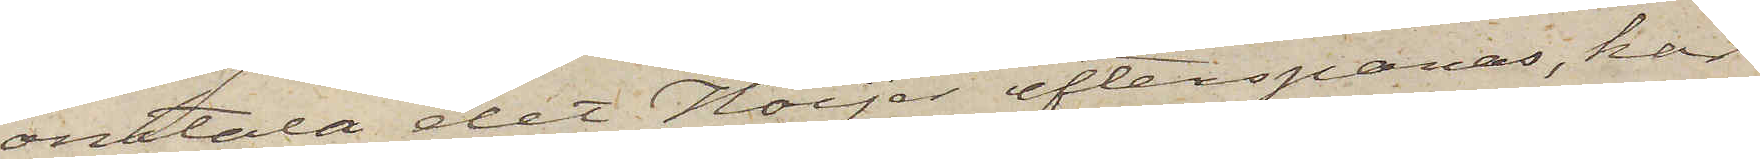omtala det Höijer efterspanas, har
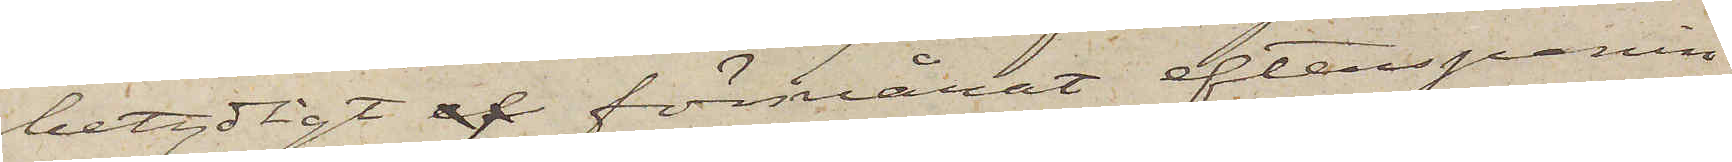betydligt af försvårat efterspanin¬
